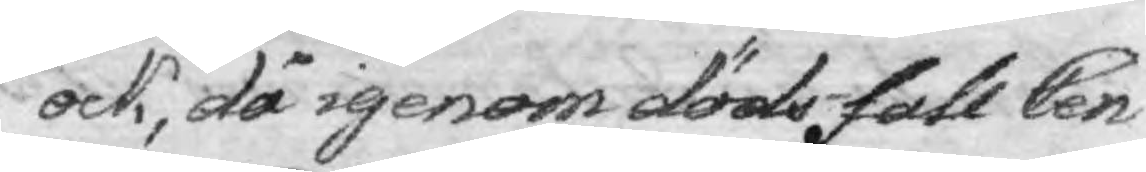ock, då igenom dödsfall Cen¬
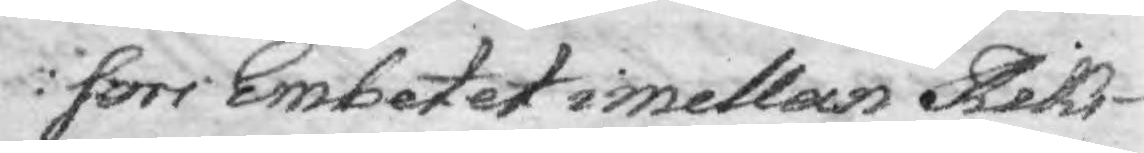sors Embetet imellan Riks¬
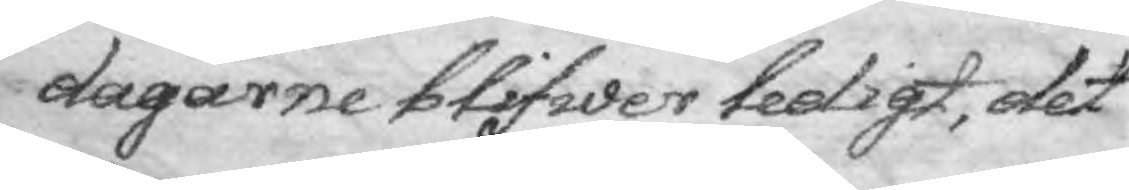dagarne blifwer ledigt, det
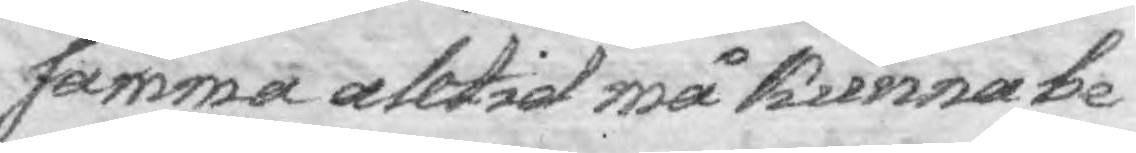samma alltid må kunna be¬
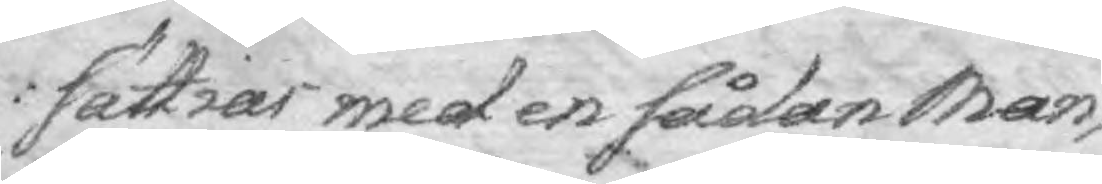sättias med en sådan Man,
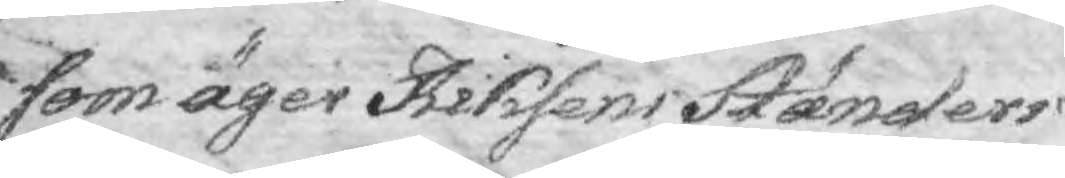som äger Riksens Ständers
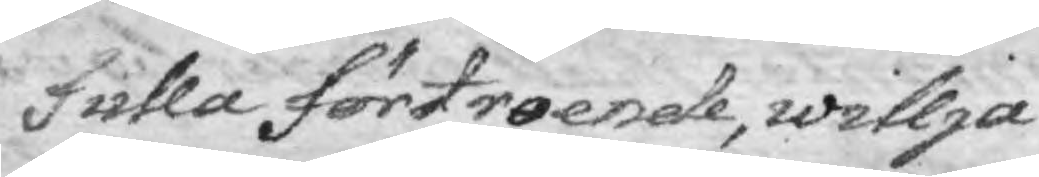fulla förtroende, willja
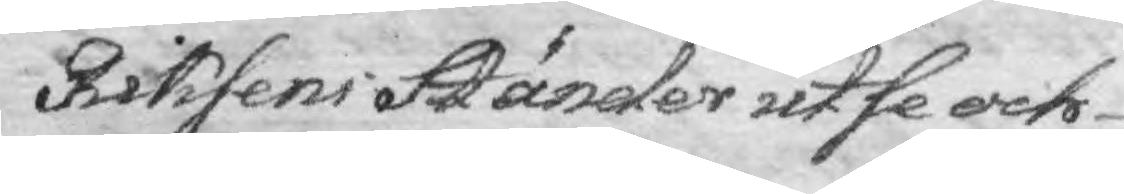Riksens Ständer utse och
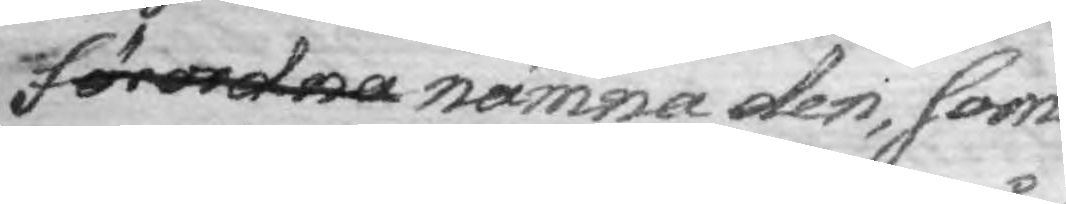förordna nämna den, som i
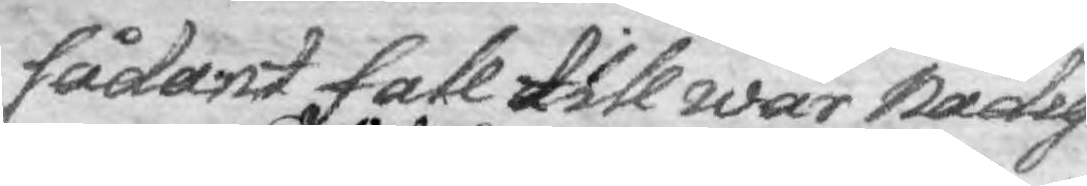sådant fall till wår Nådig¬
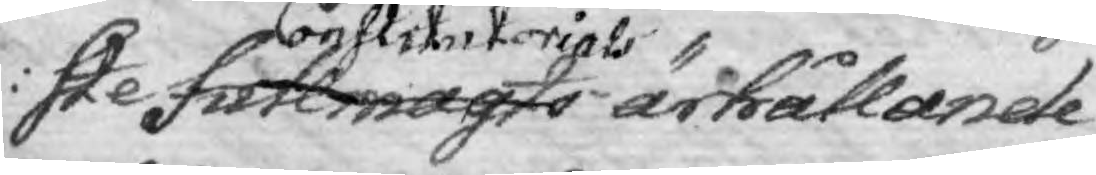ste fullmagts Constitutorials ärhållande
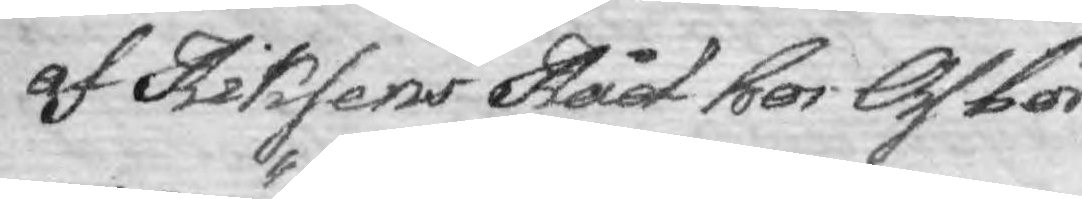af Riksens Råd hos Oss bör 
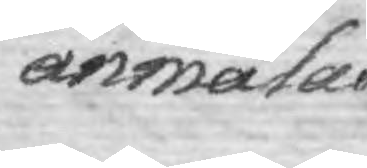anmälas.
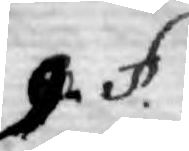9. §.
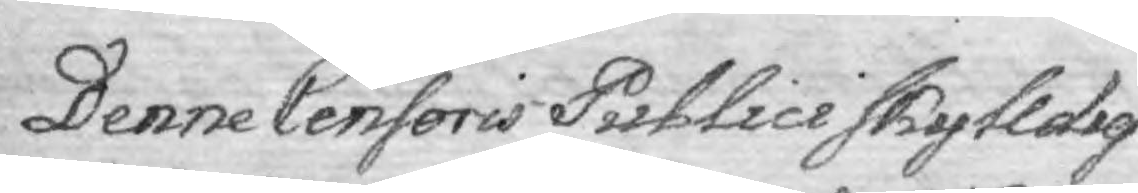Denne Censoris Publici skylldig¬
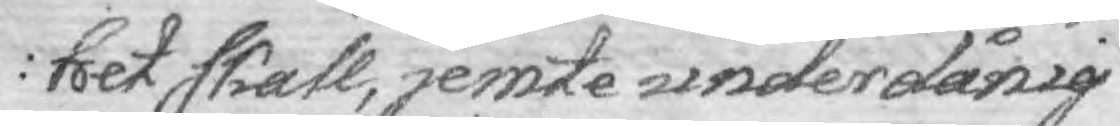het skall, jemte underdånig
